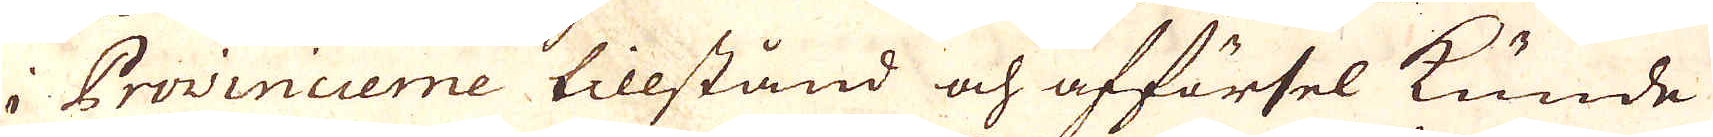i Provincerne tillstånd och afförsel kunde
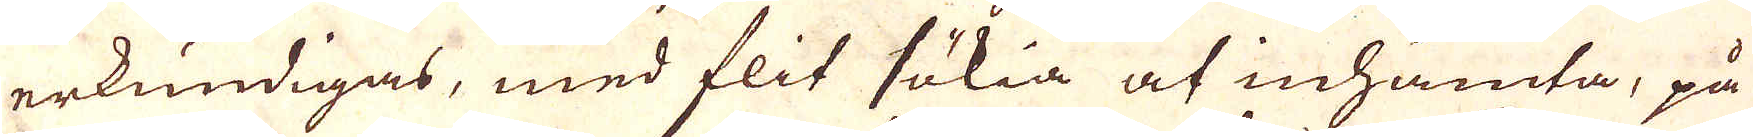erkundigas, med flit sökia at inhämta, på
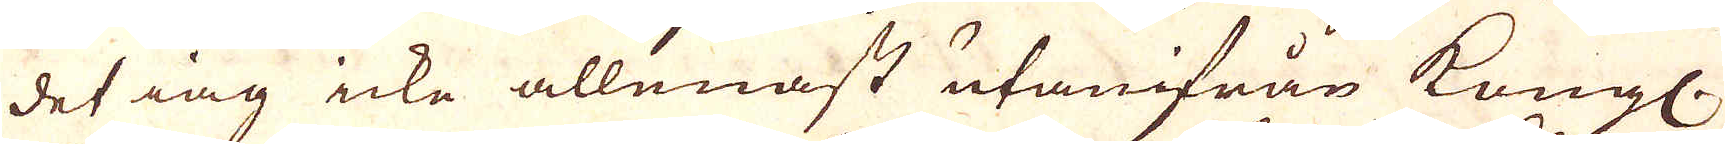det iag icke allennast utanifrån Kungl.
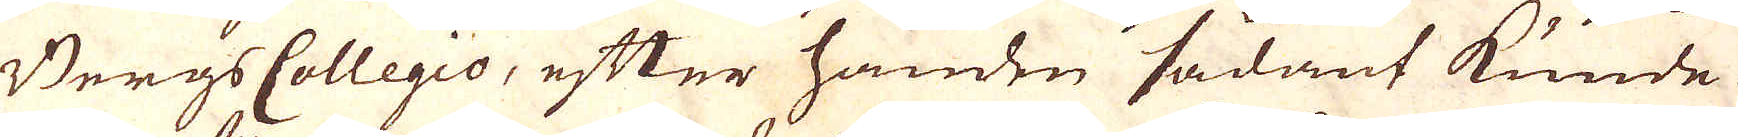Bergs Collegio, efter handen sådant kunde
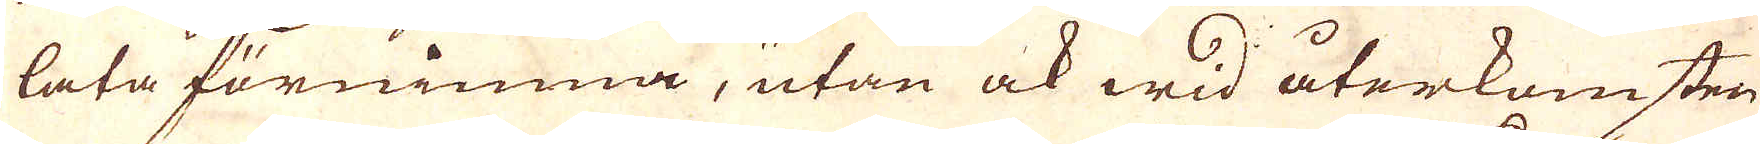lata förnimma, utan ock wid återkomsten
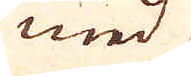med
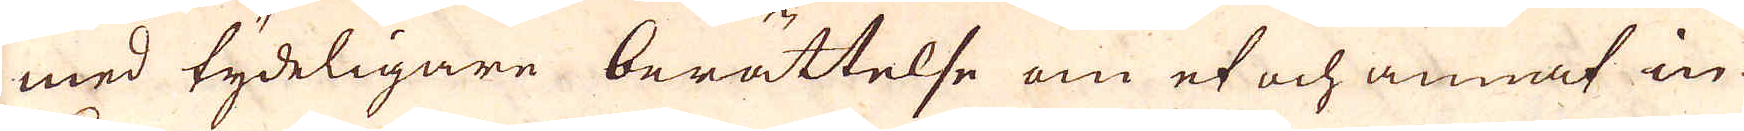med tydeligare berättelse om et och annat in-
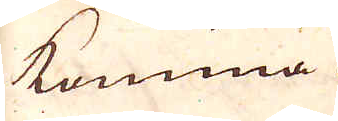komma.
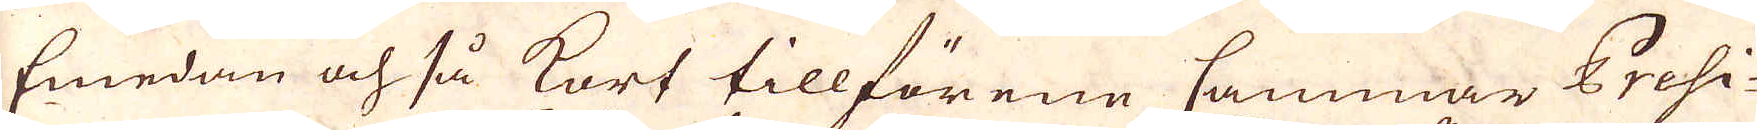Emedan och så kort tillförene Cammmar Presi-
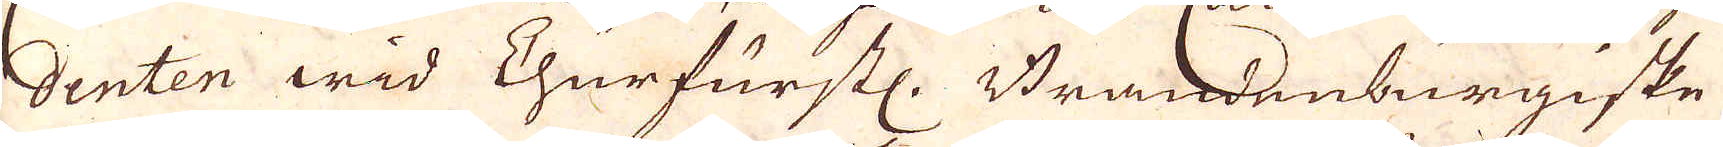denten wid Churfurstl. Brandenburgiske
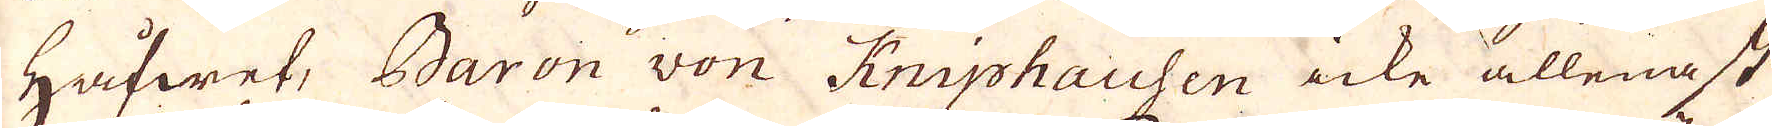håfwet, Baron von Kniphausen icke allenast
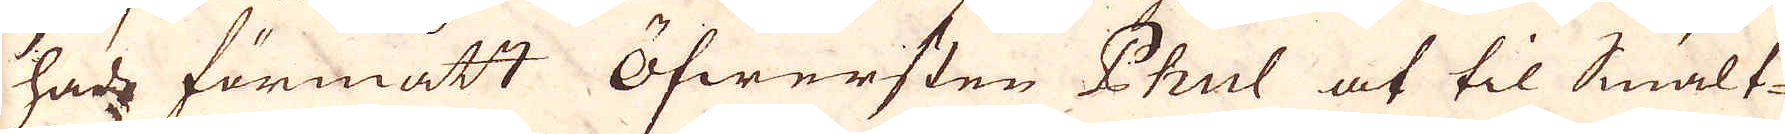hade förmått öfwersten Phul at til Smält-
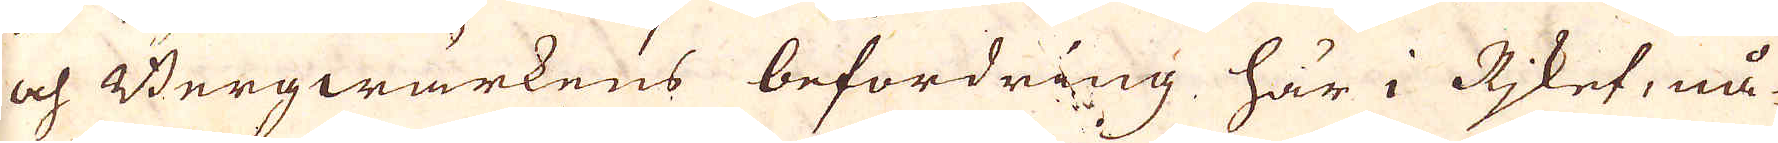och Bergwärkens befordring här i Riket, nå-
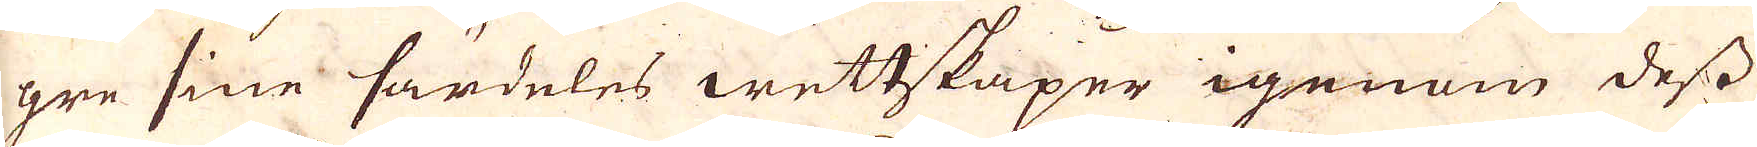gre sine särdeles wettskaper igenom dess
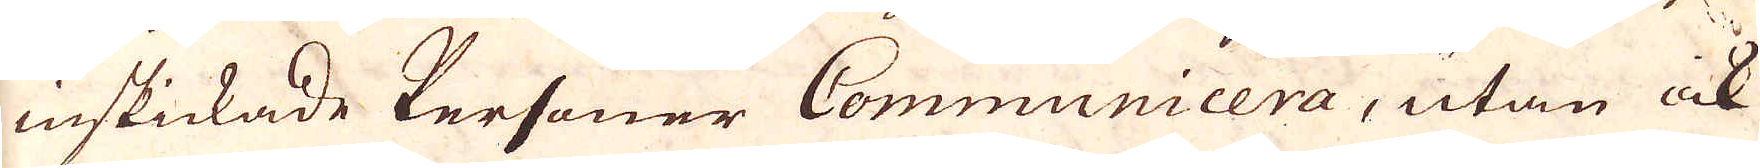inskickade Personer Communicera, utan icke
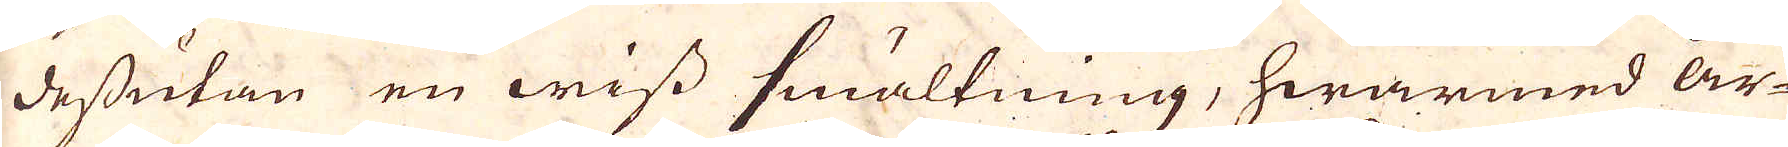dessutan en wiss smältning, hwarmed år-
